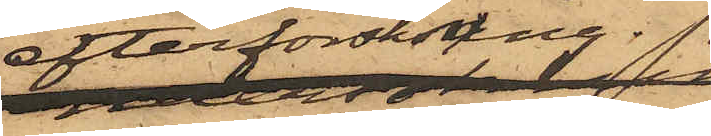efterforskning
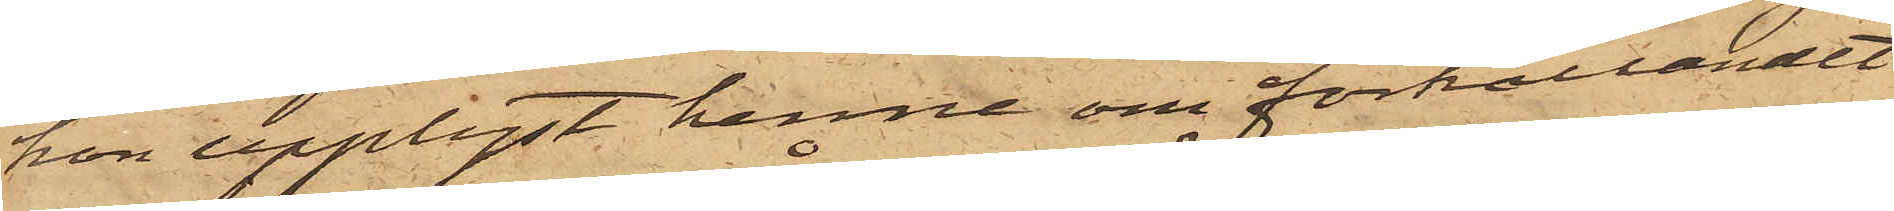hon upplyst henne om förhållandet
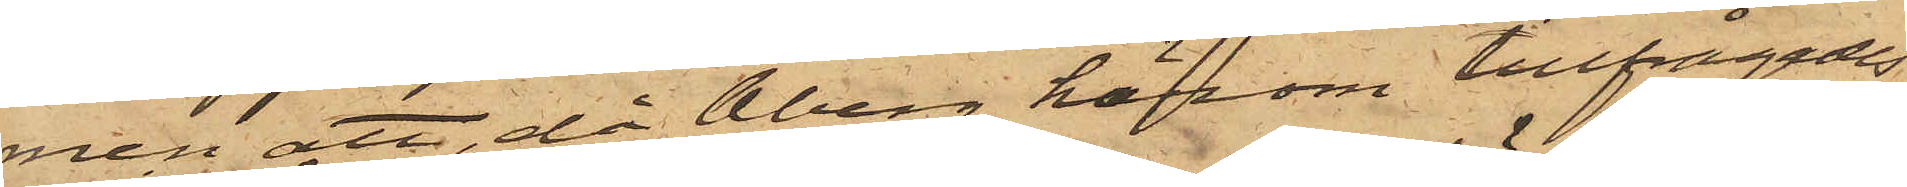men att, då Åberg härom tillfrågades,
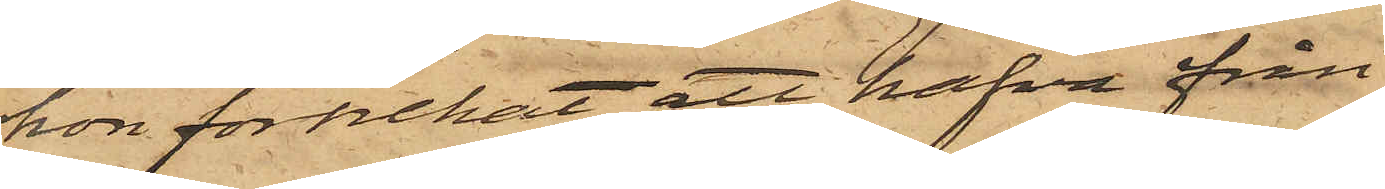hon förnekat, att hafva från
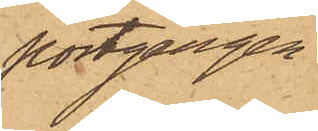portgången
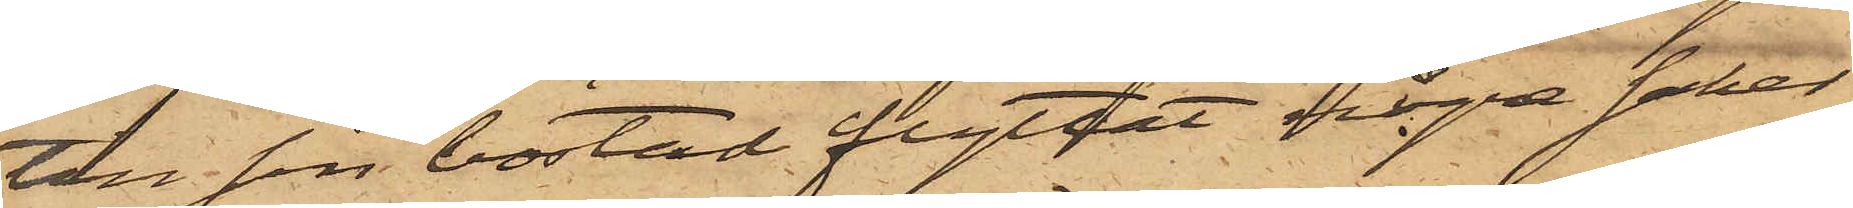till sin bostad flyttat några saker.
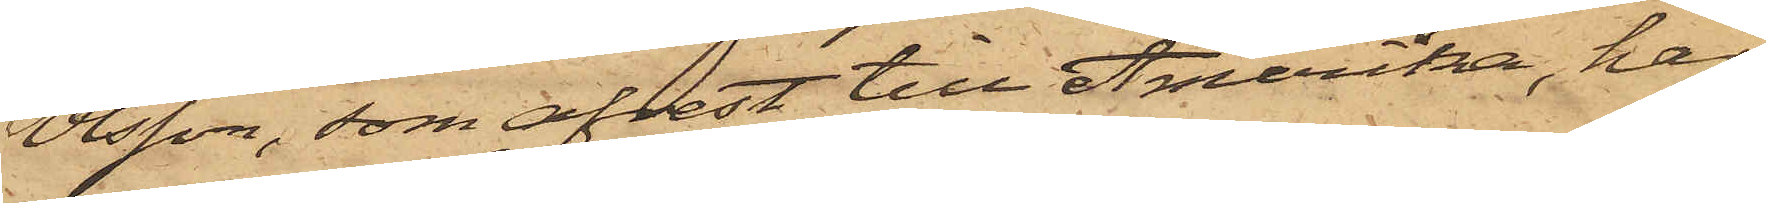Olsson, som afrest till Amerika, har
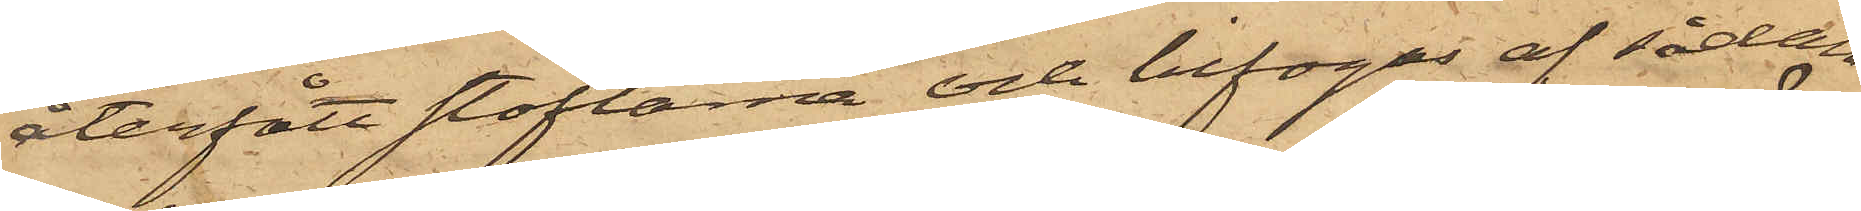återfått stöflarne och bifogas af sådan
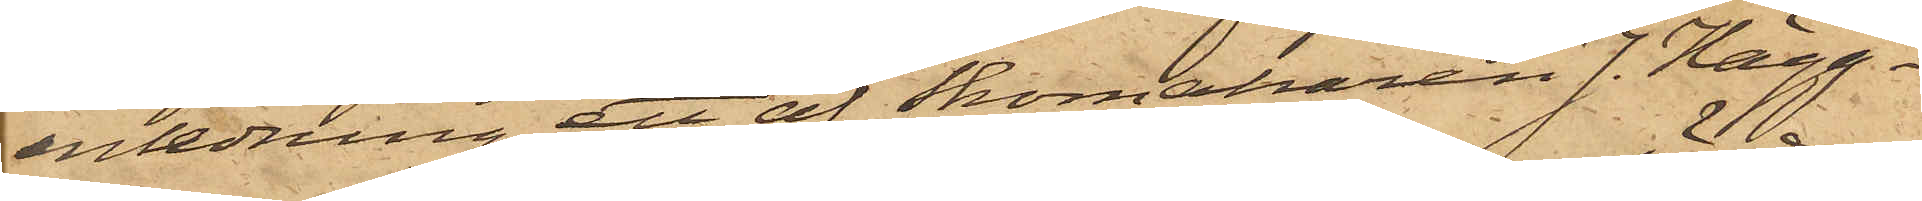anledning ett af Skomakaren J. Hägg¬
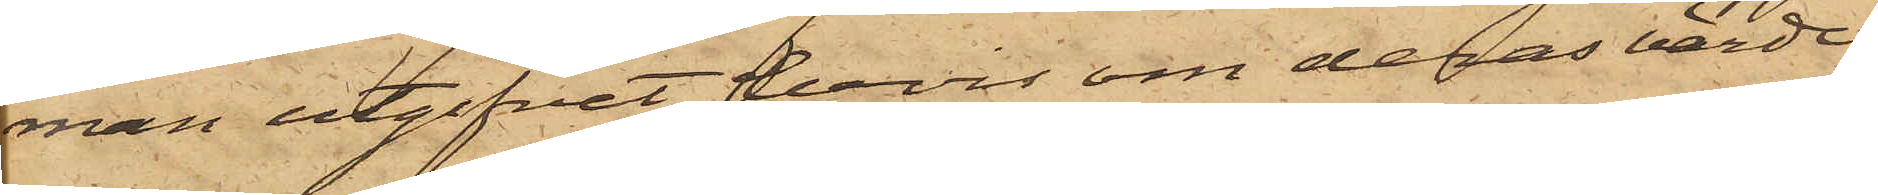man utgifvit bevis om deras värde.
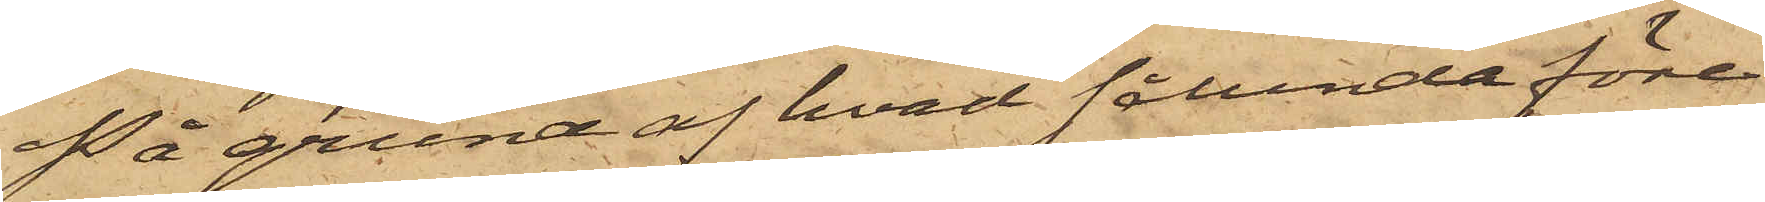På grund af hvad sålunda före¬
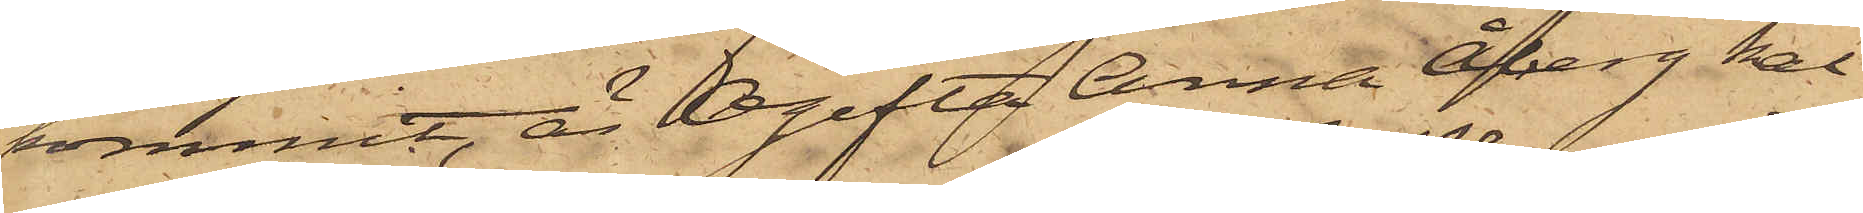kommit, är Ogifta Anna Åberg kal¬
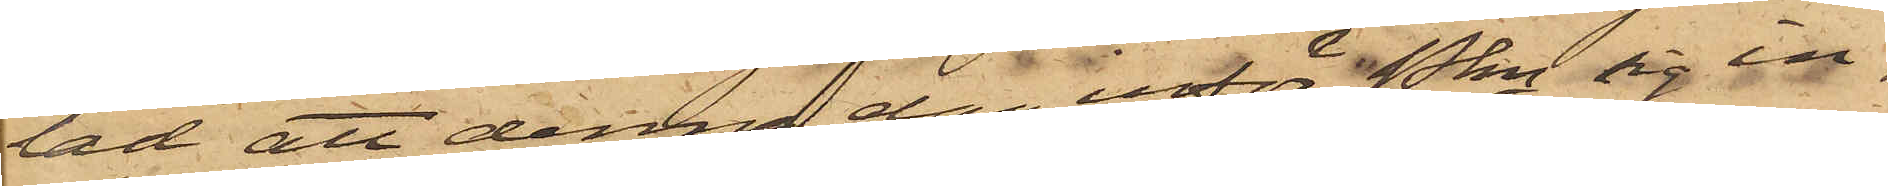lad att denna dag inför Pkn sig in¬
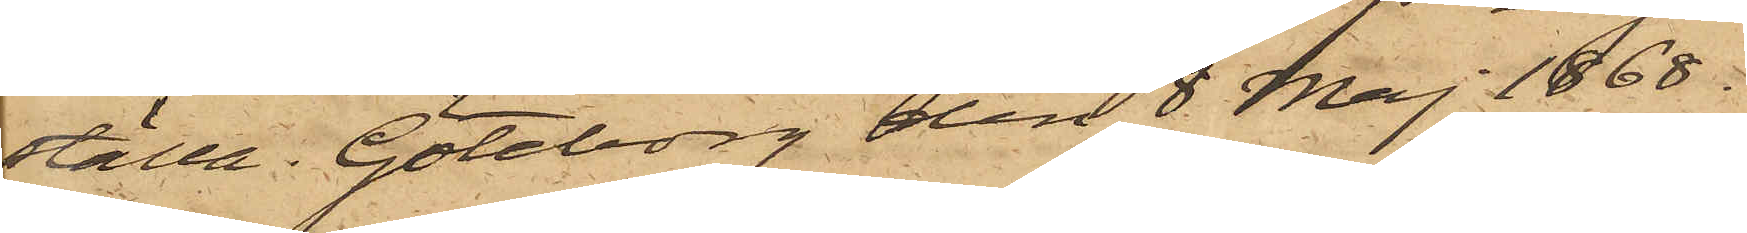ställa. Göteborg den 8 Maj 1868.
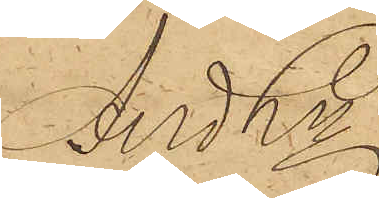And Ln
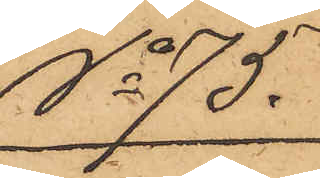No 75.
